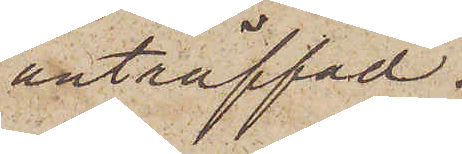anträffad
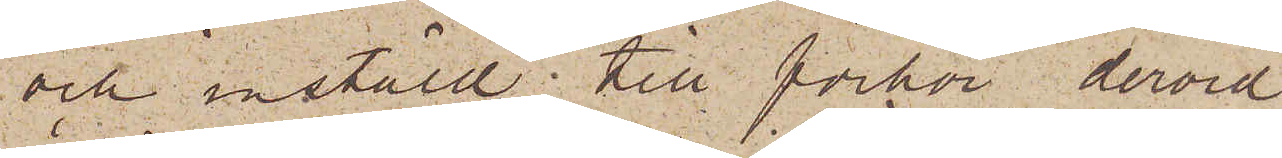och instäld till förhör, dervid
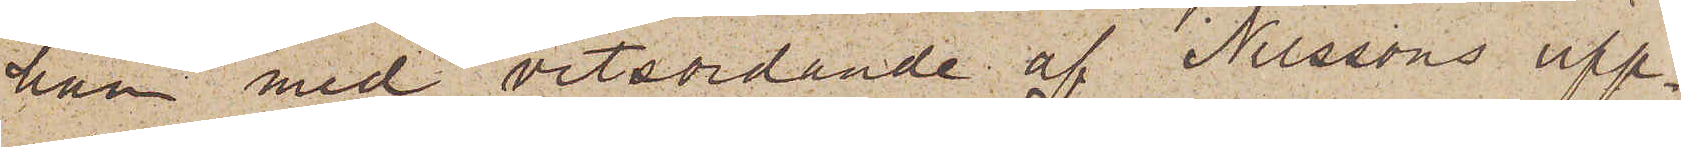han med vitsordande af Nilssons upp¬
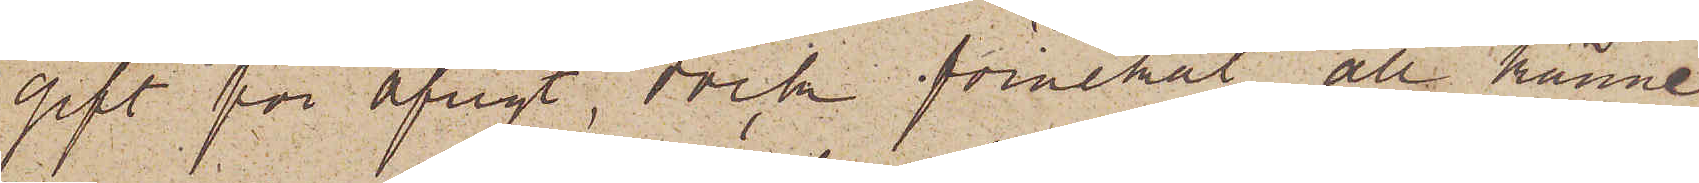gift för öfrigt, dock förnekat all känne¬
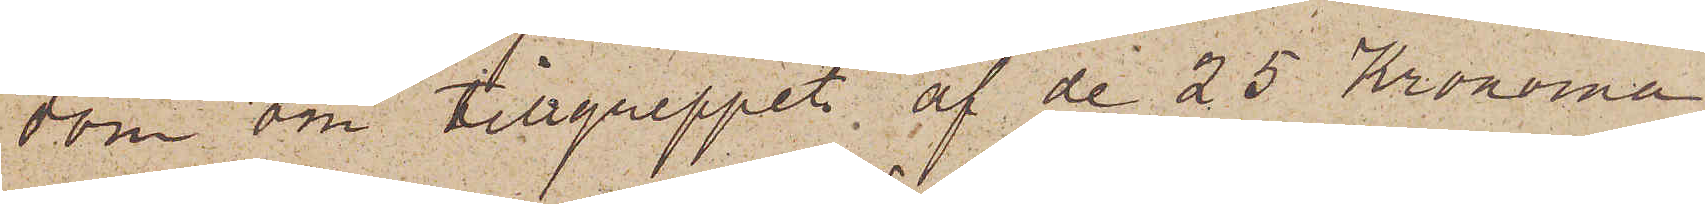dom om tillgreppet af de 25 Kronorna,
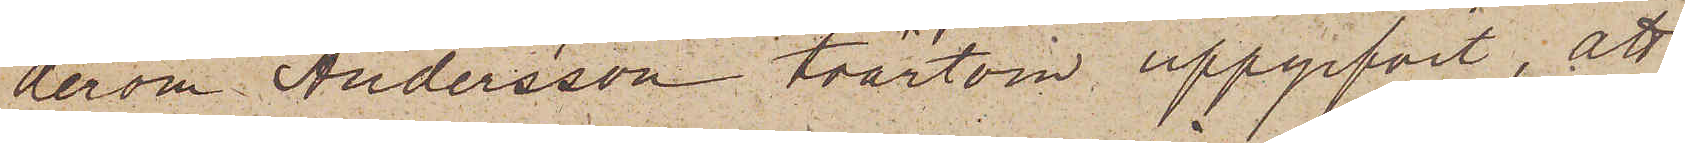derom Andersson tvärtom uppgifvit, att
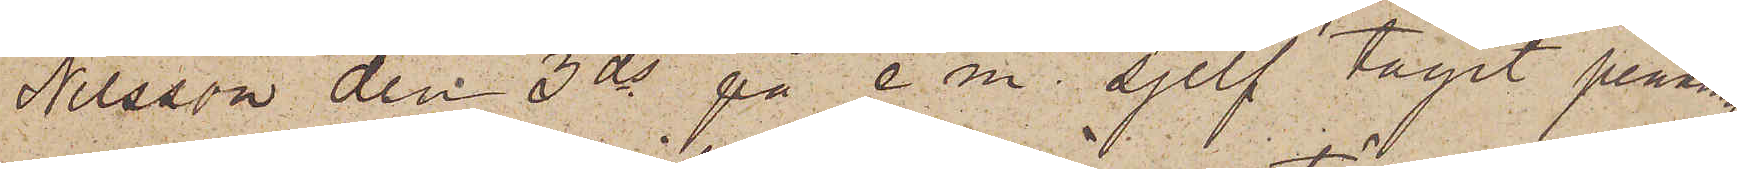Nilsson den 3 ds på e. m. sjelf tagit pennin¬
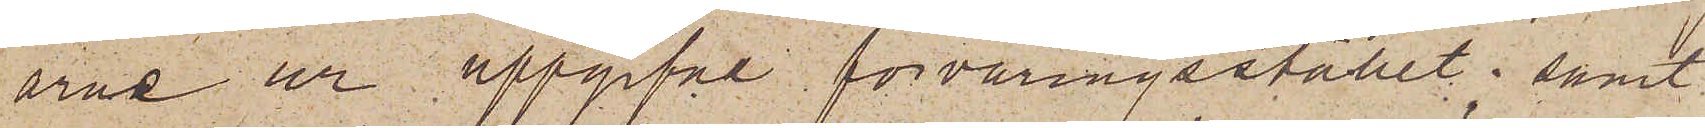arne ur uppgifne förvaringsstället; samt
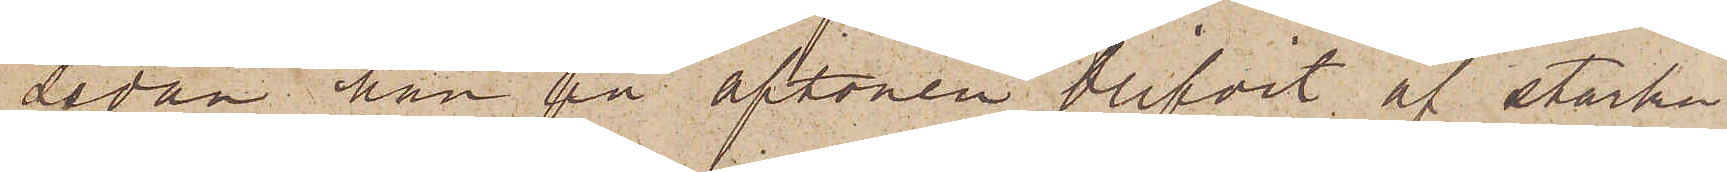sedan han på aftonen blifvit af starka
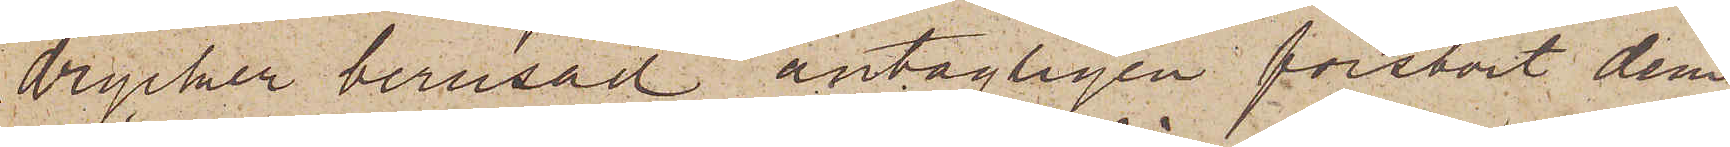drycker berusad antagligen förstört dem.
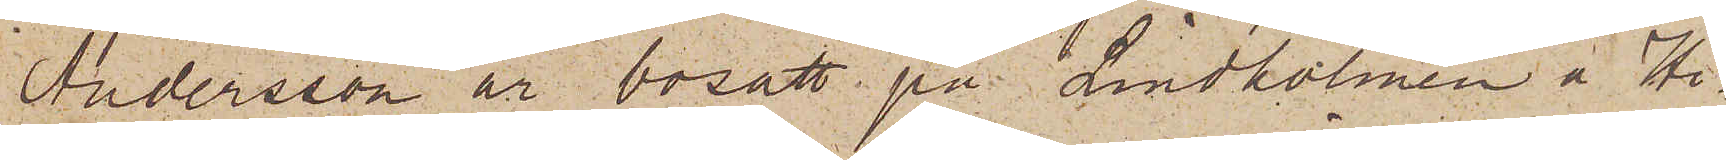Andersson är bosatt på Lindholmen å Hi¬
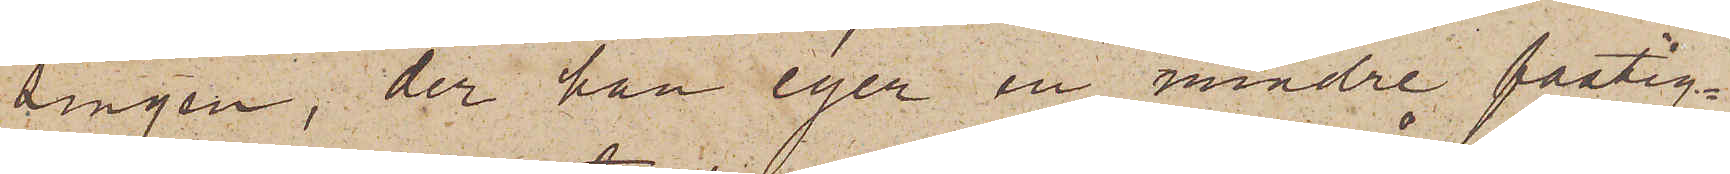singen, der han eger en mindre fastig¬
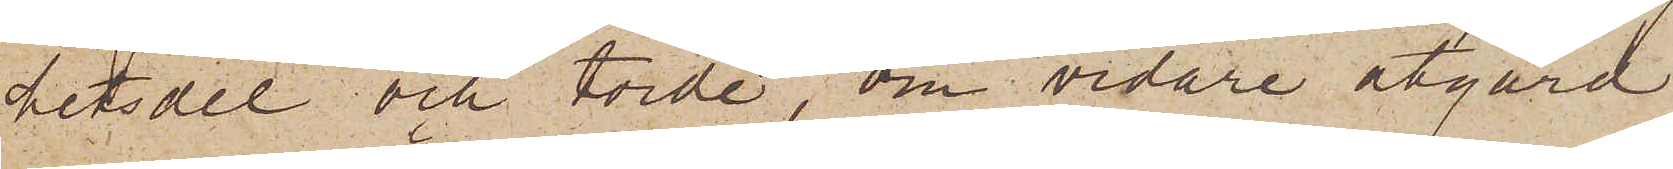hetsdel och torde, om vidare åtgärd
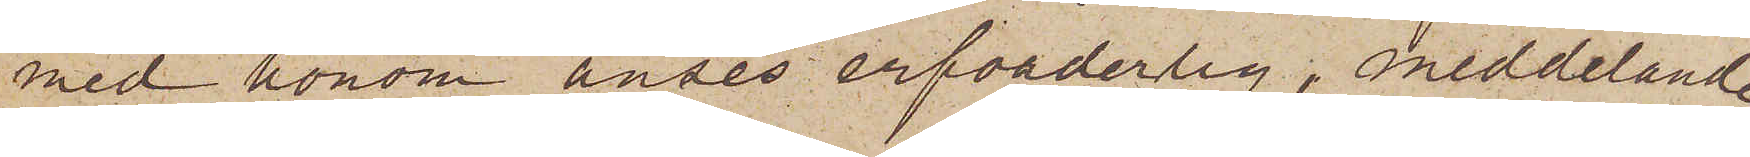med honom anses erforderlig, meddelande
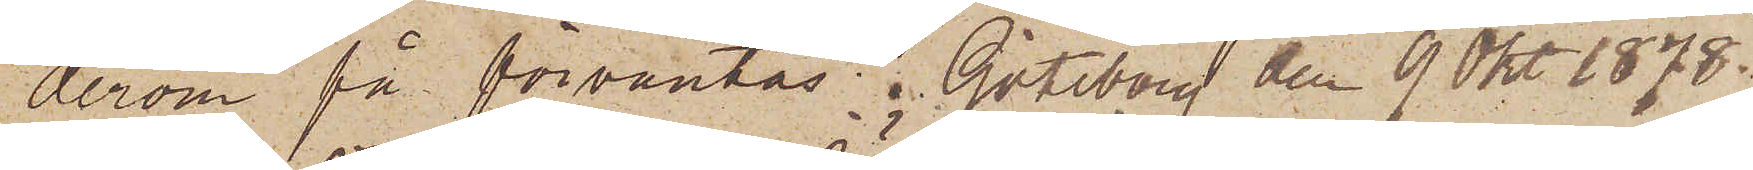derom få förväntas. Göteborg den 9 Okt. 1878.
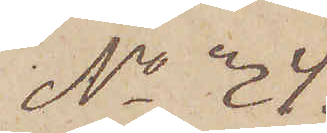No 34.
